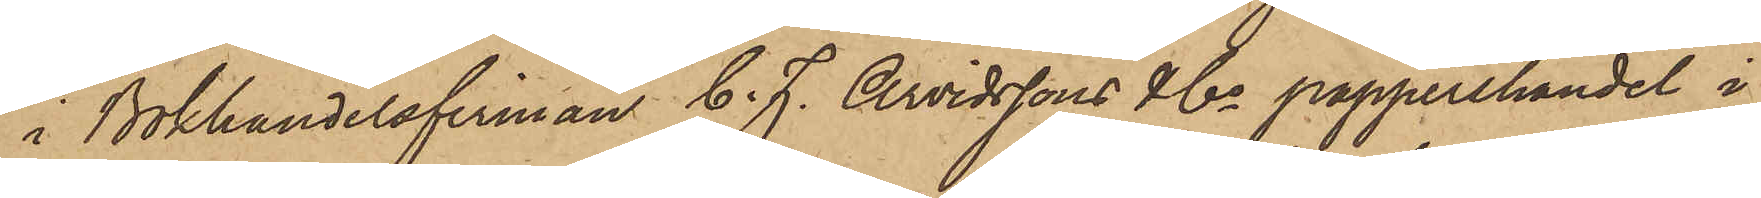i Bokhandelsfirman C. F. Arvidssons & Co pappershandel i
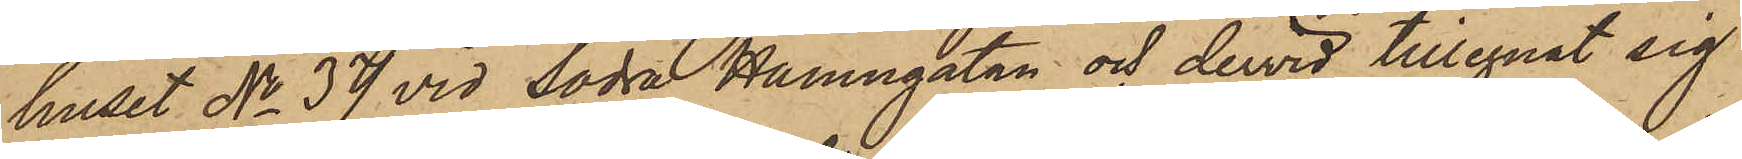huset No 37 vid Södra Hamngatan och dervid tillegnat sig
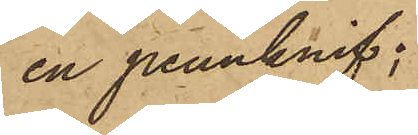en pennknif;
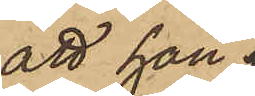att han 
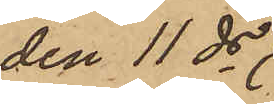den 11 ds 
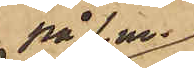på f. m.
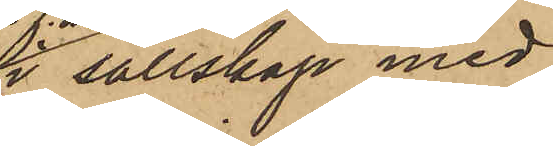i sällskap med
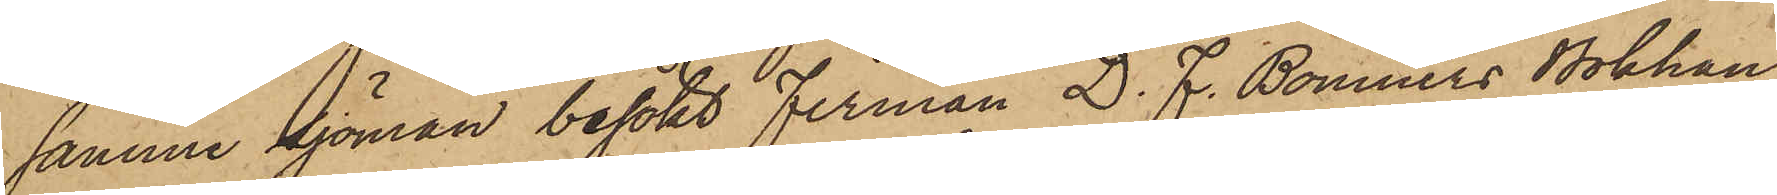samme Sjöman besökt firman D. F. Bonniers Bokhan¬
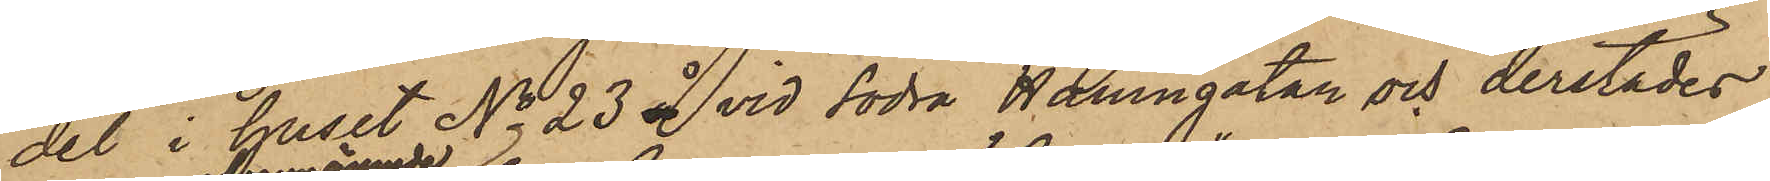del i huset No 23 å vid Södra Hamngatan och derstädes
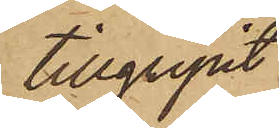tillgripit
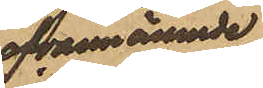ofvannämnde
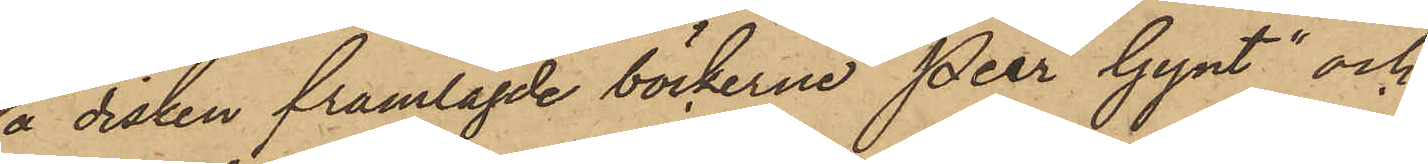å disken framlagde böckerne "Peer Gynt" och
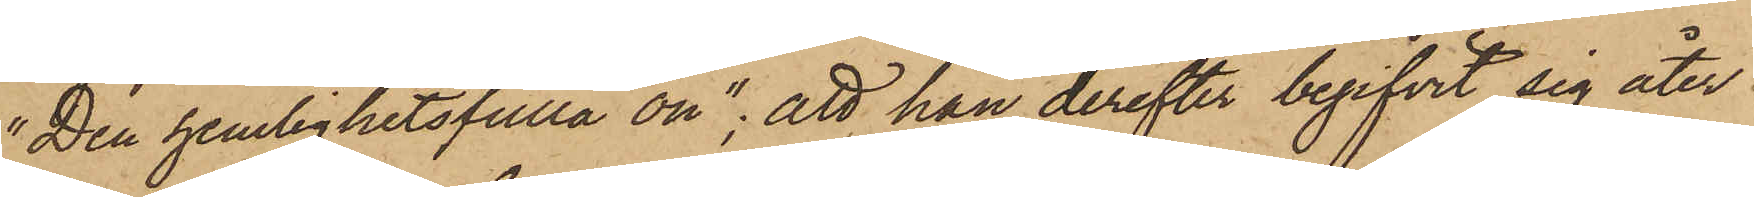"Den hemlighetsfulla ön"; att han derefter begifvit sig åter
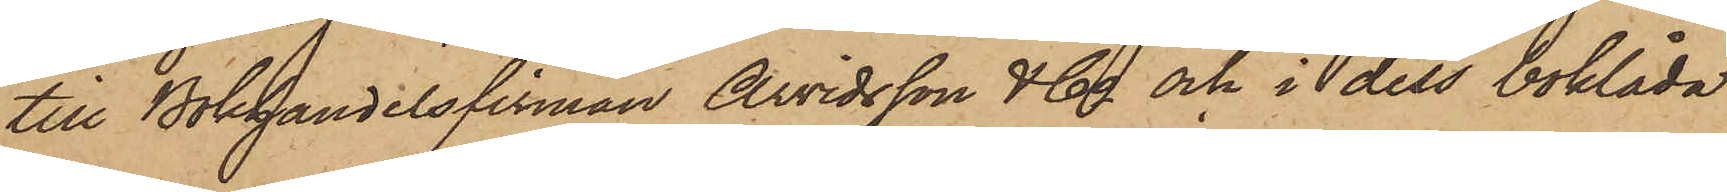till Bokhandelsfirman Arvidsson & Co och i dess boklåda
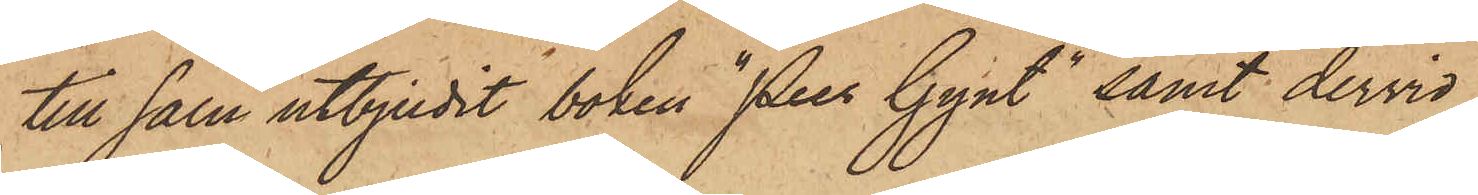till salu utbjudit boken "Peer Gynt" samt dervid
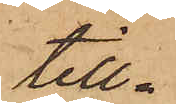till¬
